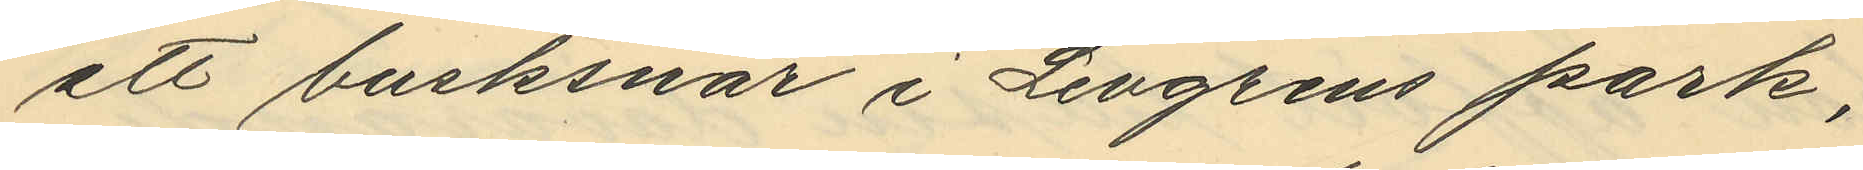att busksnår i Levgrens park,
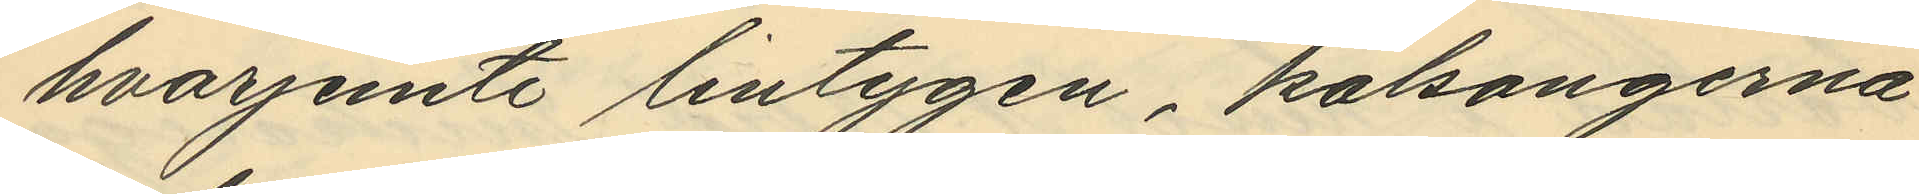hvarjemte lintygen, kalsongerna
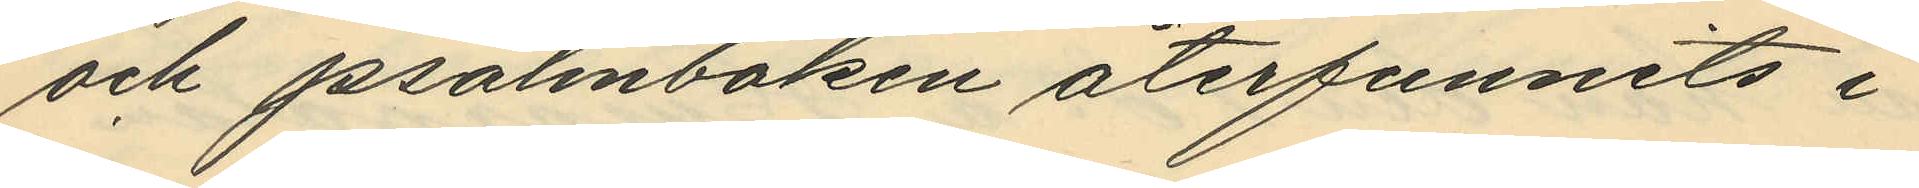och Psalmboken återfunnits i
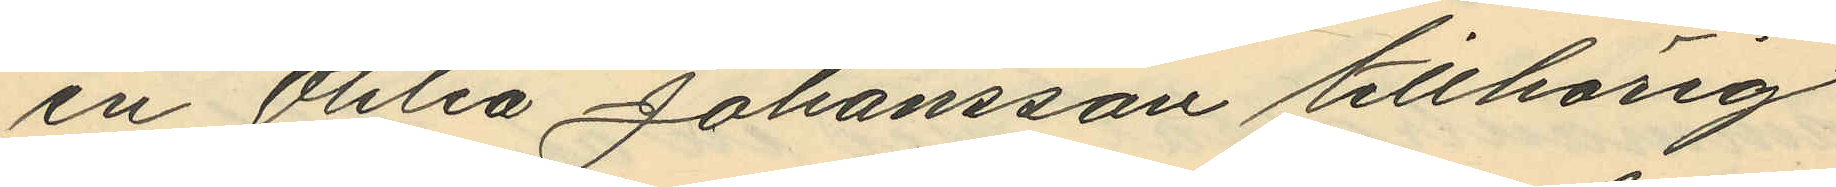en Otilia Johansson tillhörig
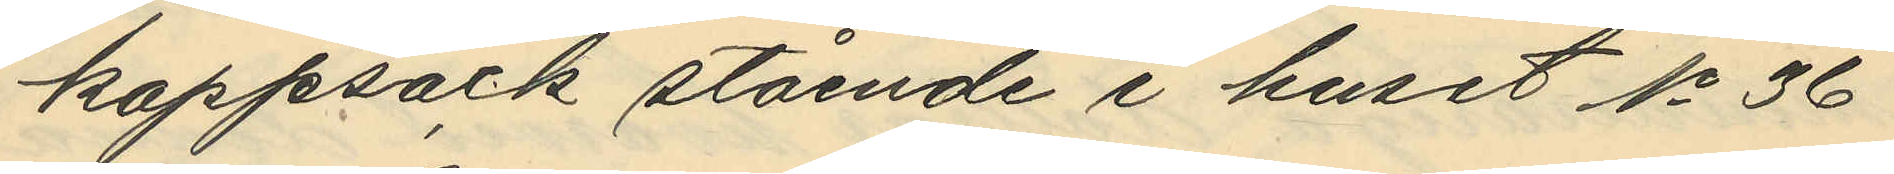kappsäck stående i huset No 36
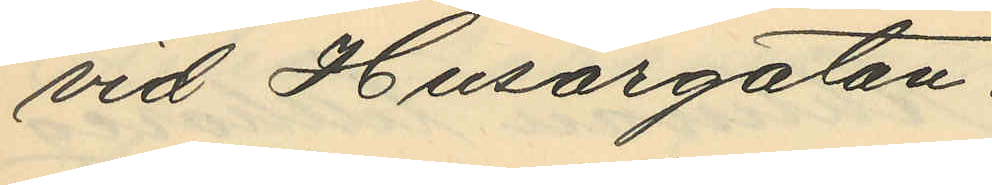vid Husargatan.
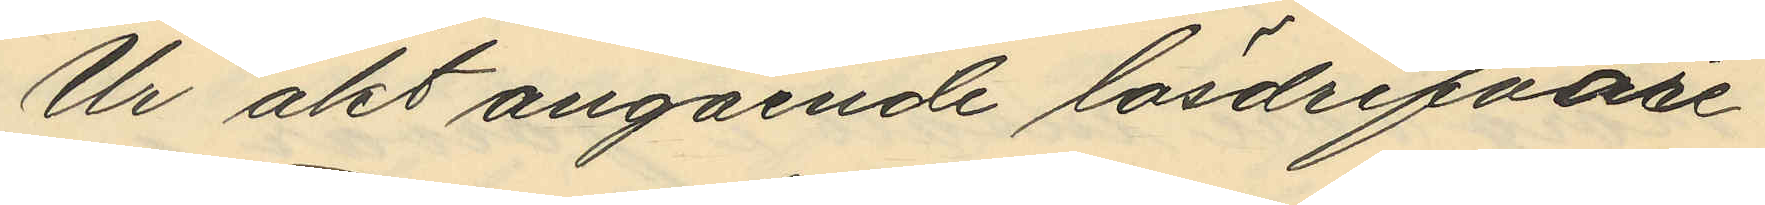Ur akt angående lösdrifvare
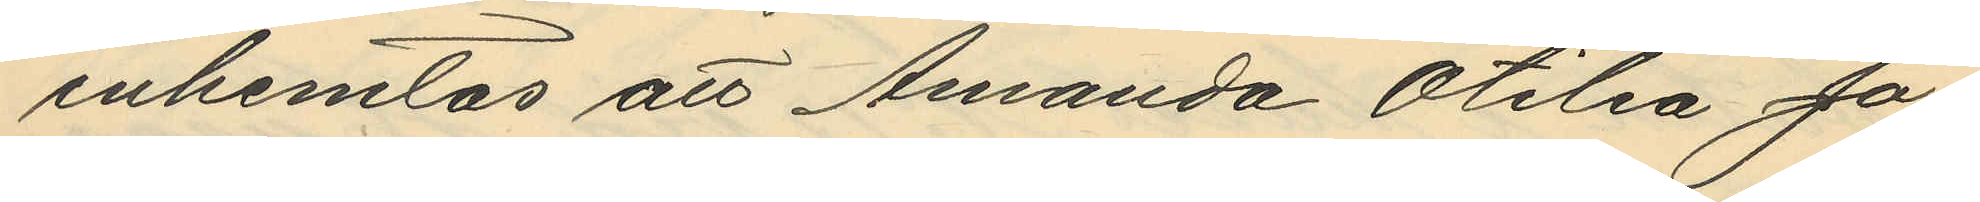inhemtas att Amanda Otilia Jo¬
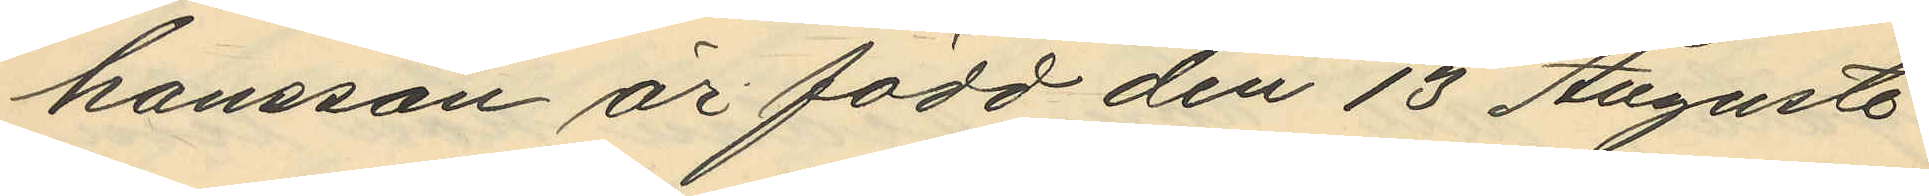hansson är född den 13 Augusti
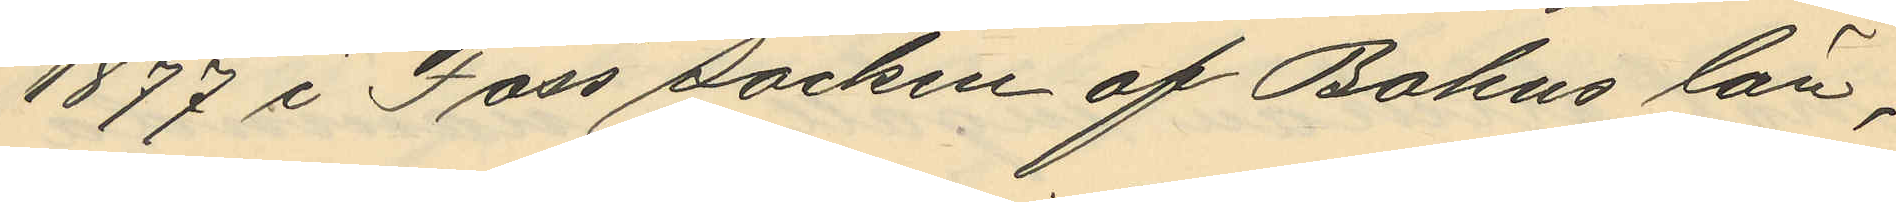1877 i Foss socken af Bohus län,
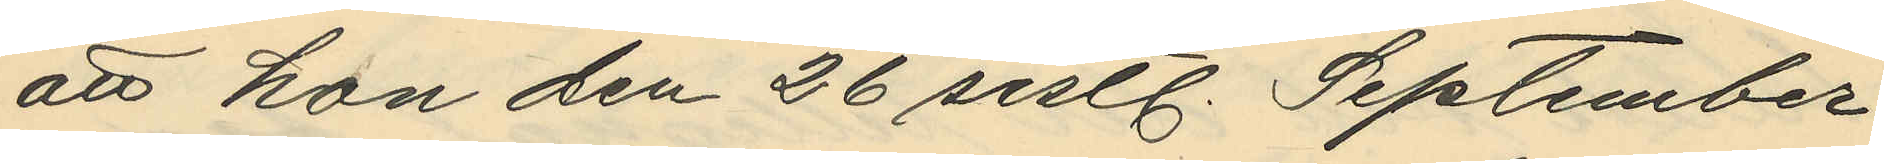att hon den 26 sistl. September
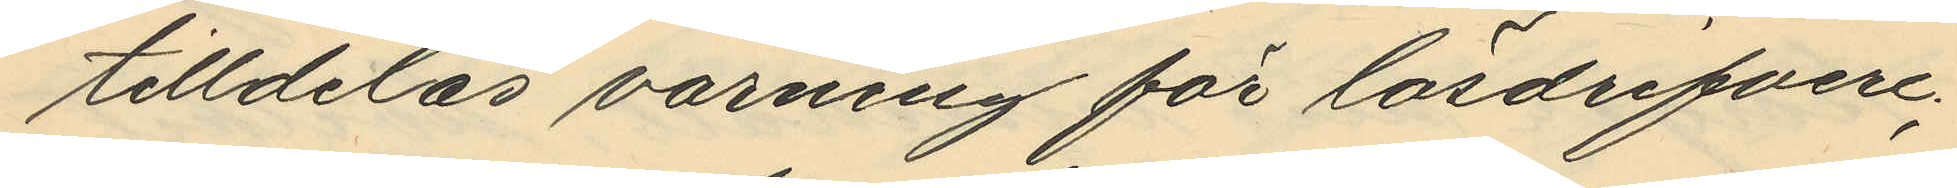tilldelas varning för lösdrifveri;
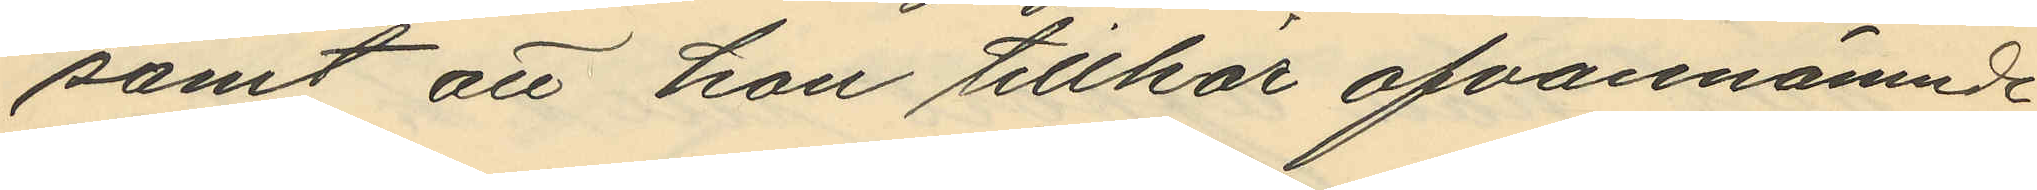samt att hon tillhör ofvannämnde
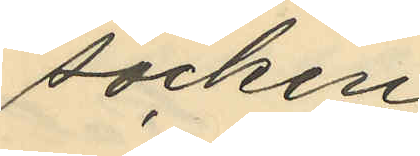socken.
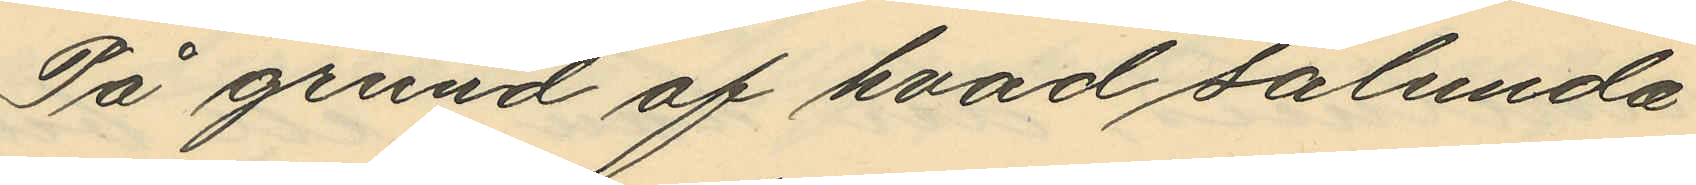På grund af hvad sålunda
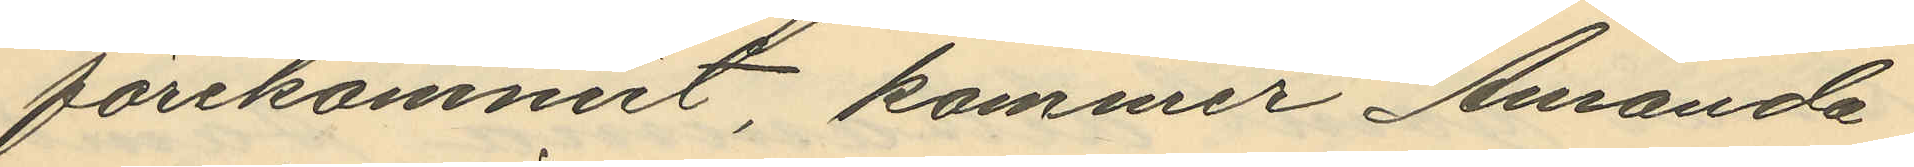förekommit, kommer Amanda
